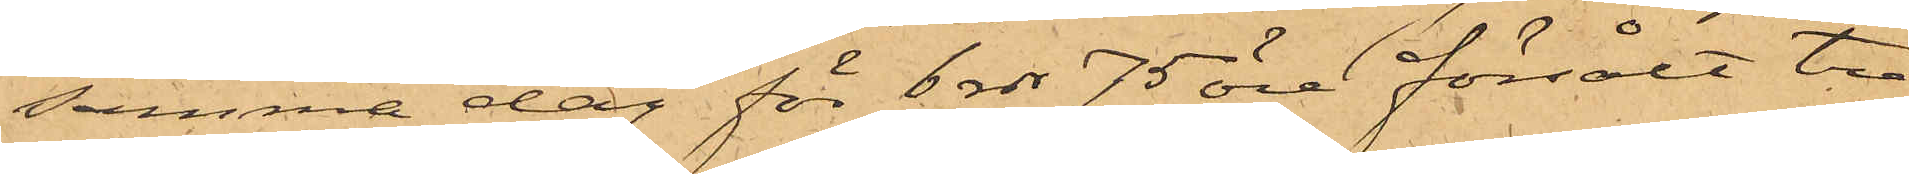samma dag för 6 rdr 75 öre försålt tre
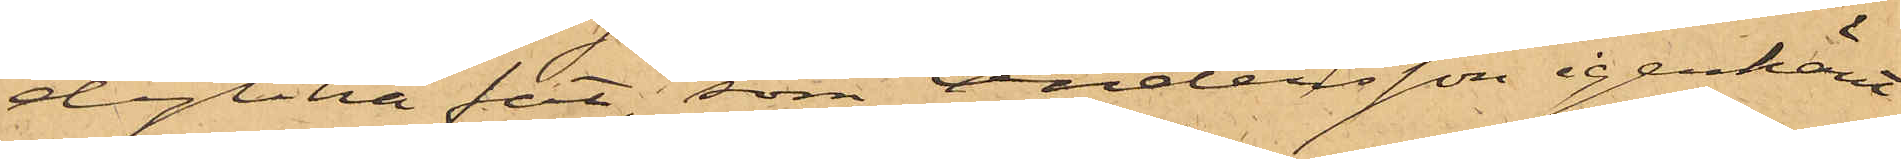dylika fat, som Andersson igenkänt
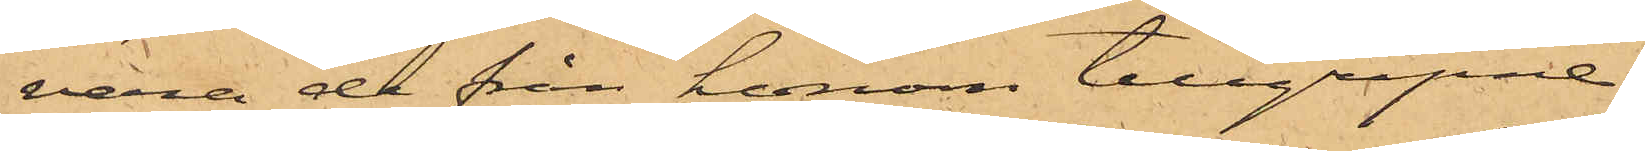vara de från honom tillgripne.
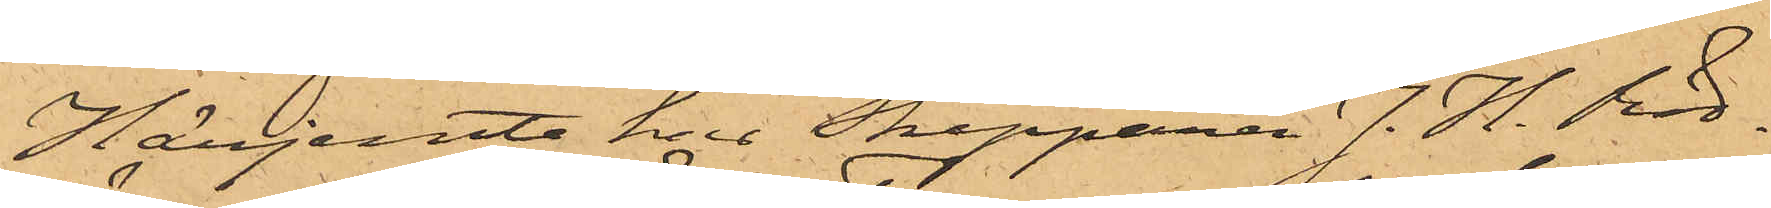Härjemte har Skepparen J. H. Röd¬
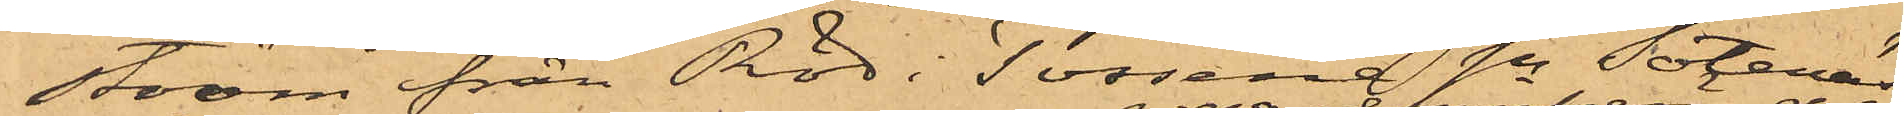ström från Röd i Tossene Sn Sotenäs
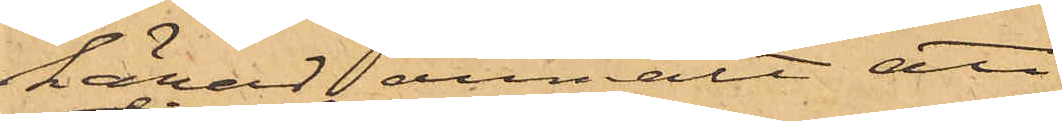härad anmält, att
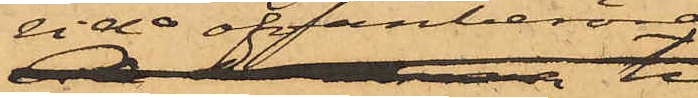 vid ofvanberörde
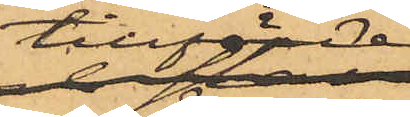tillfälle
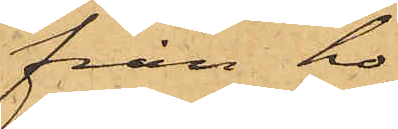från ho¬
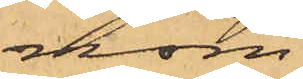nom
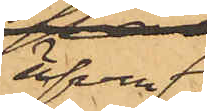äfven
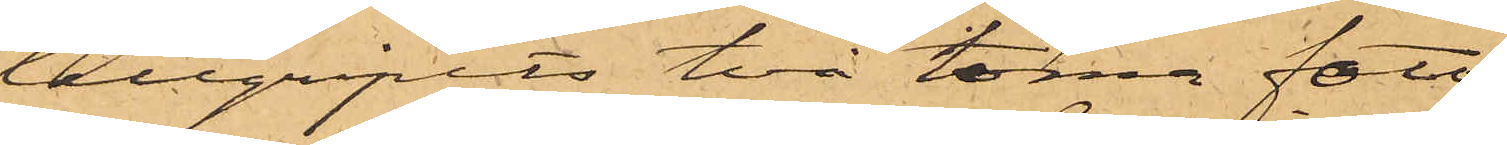tillgripits två tomma foto¬
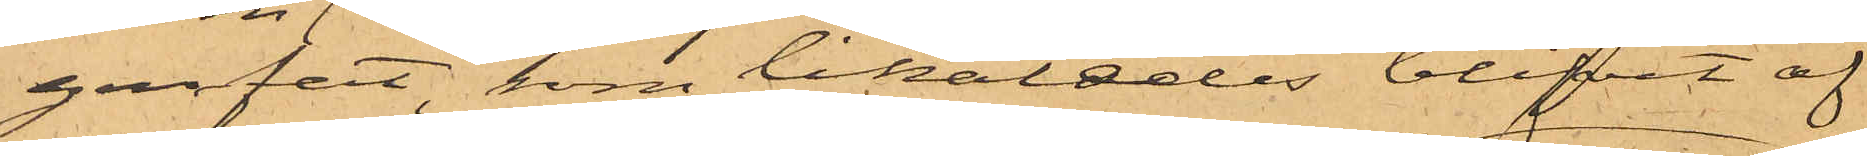genfat, som likaledes blifvit af
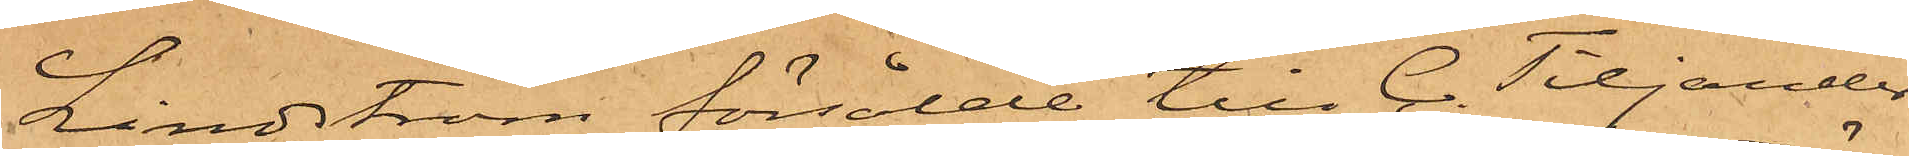Lindström försålde till C. Tiljander
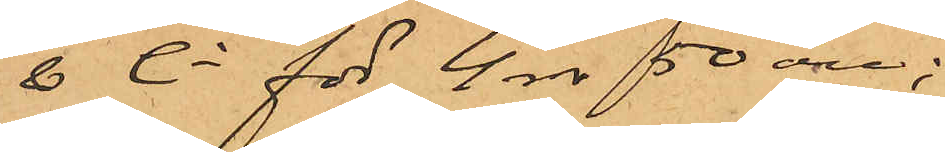& Ci för 4 rdr 50 öre;
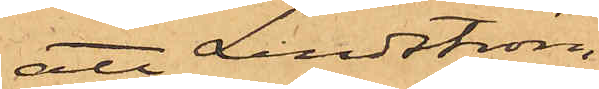att Lindström,
